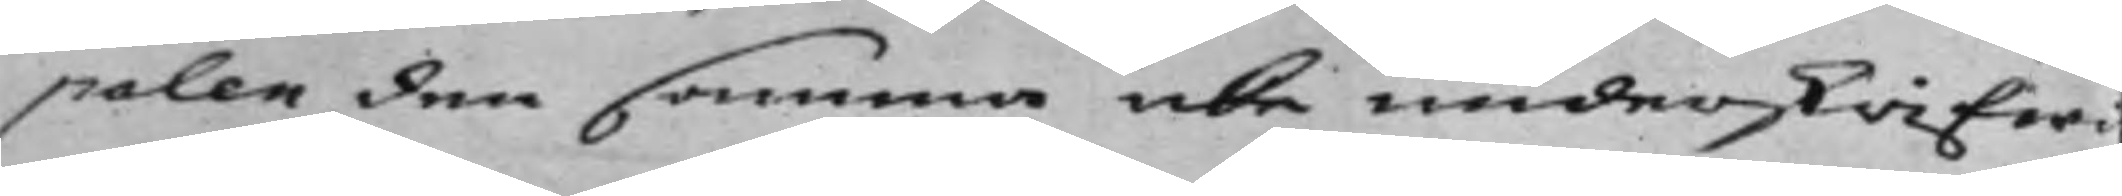palen den samma icke underskrifwi
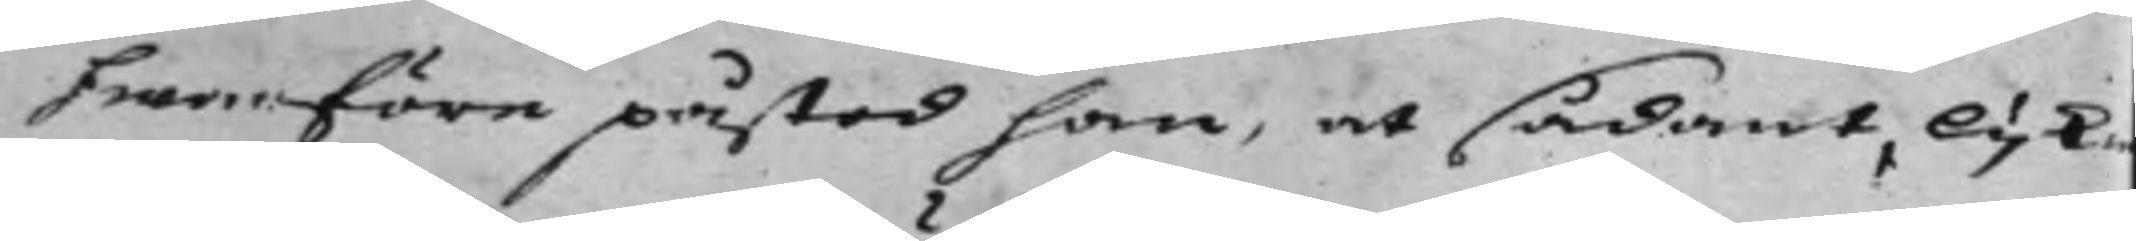hwarföre påstod han, at sådant, lijk¬
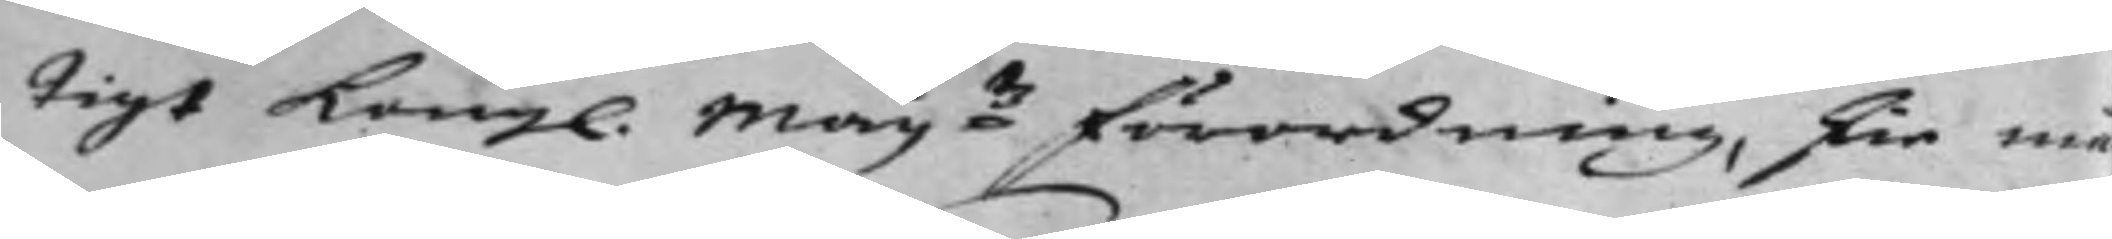tigt Kongl. May:ts förordning, skie må¬
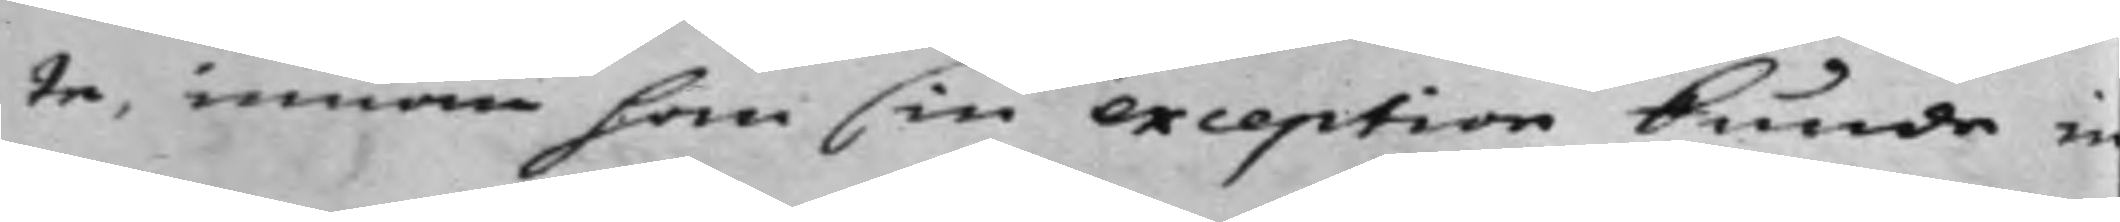te, innan han sin exception kunde in¬
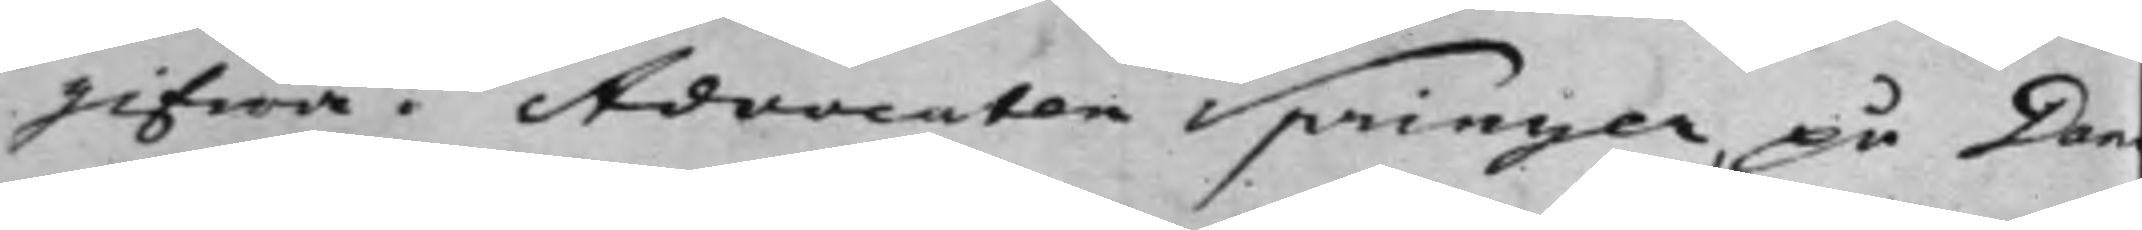gifwa. Advocaten Springer, på Dan¬
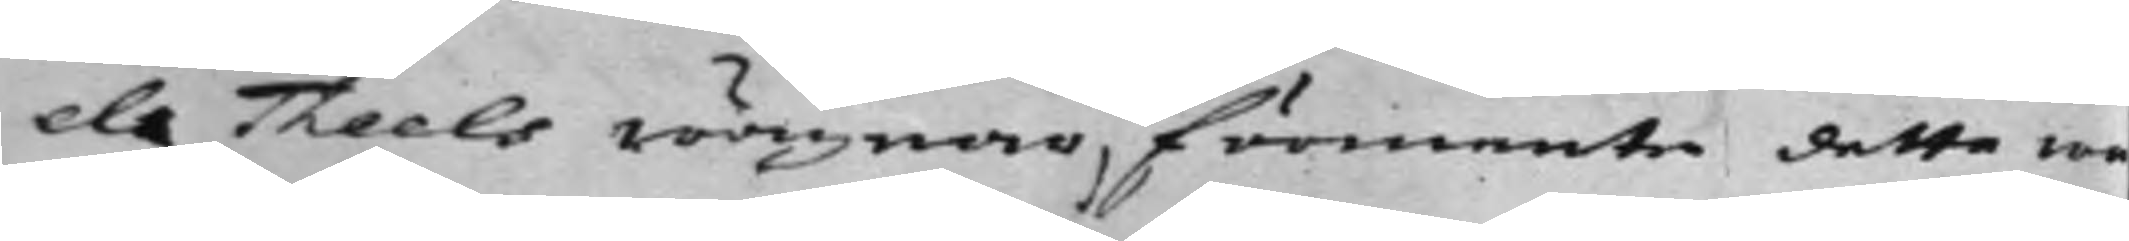els Theels wägnar, förmente detta wa¬
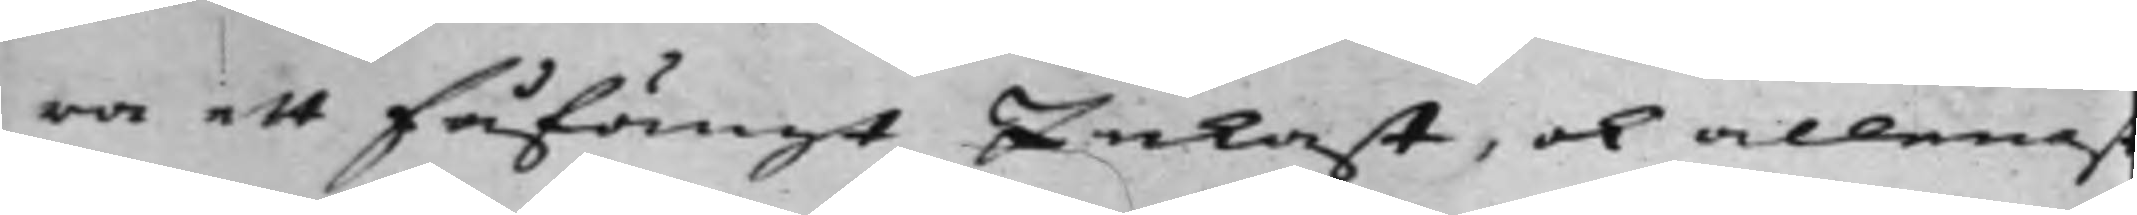ra ett fåfängt Inkast, ok allenast
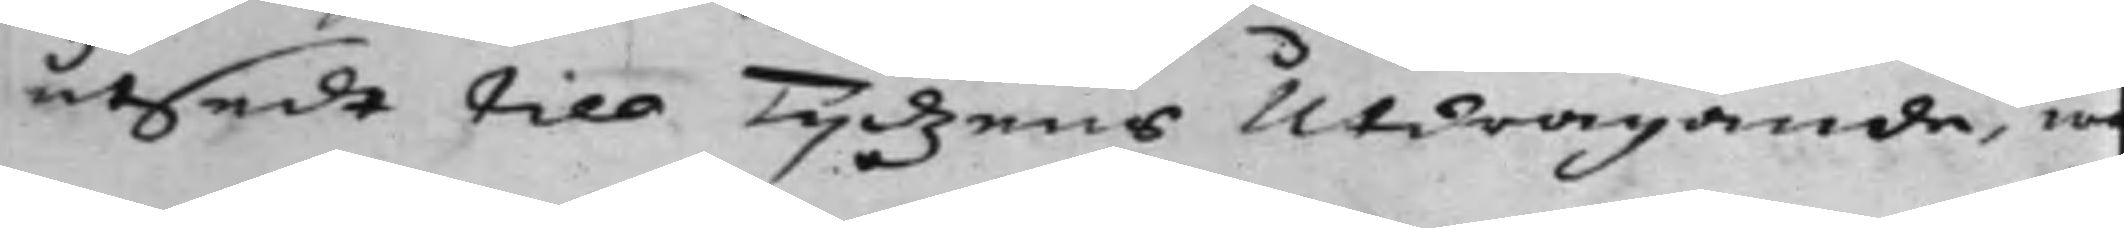utsedt till Tidjzens Utdragande, w¬
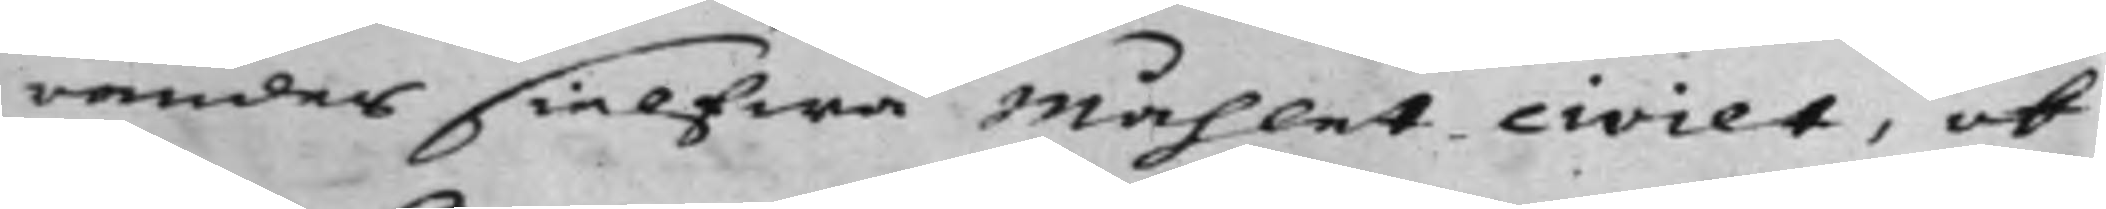randes sielfwa Måhlet civilt, ok
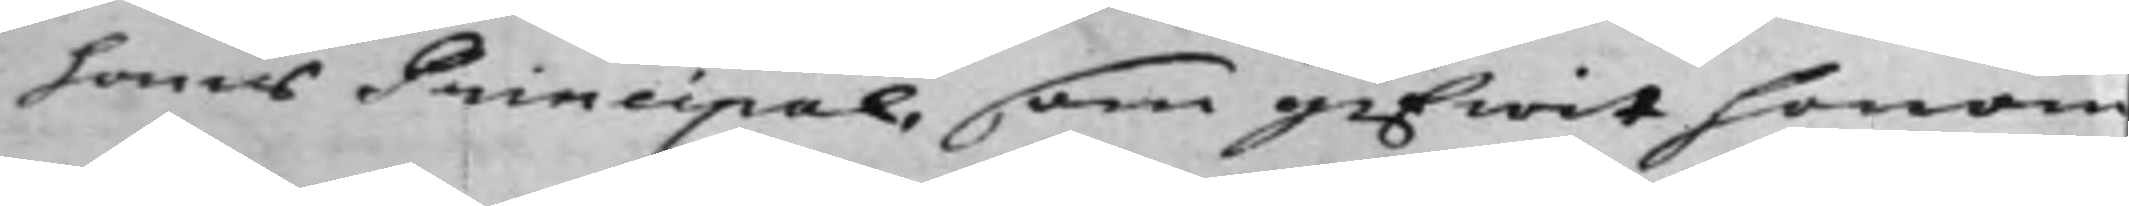hans Principal, som gifwit honom
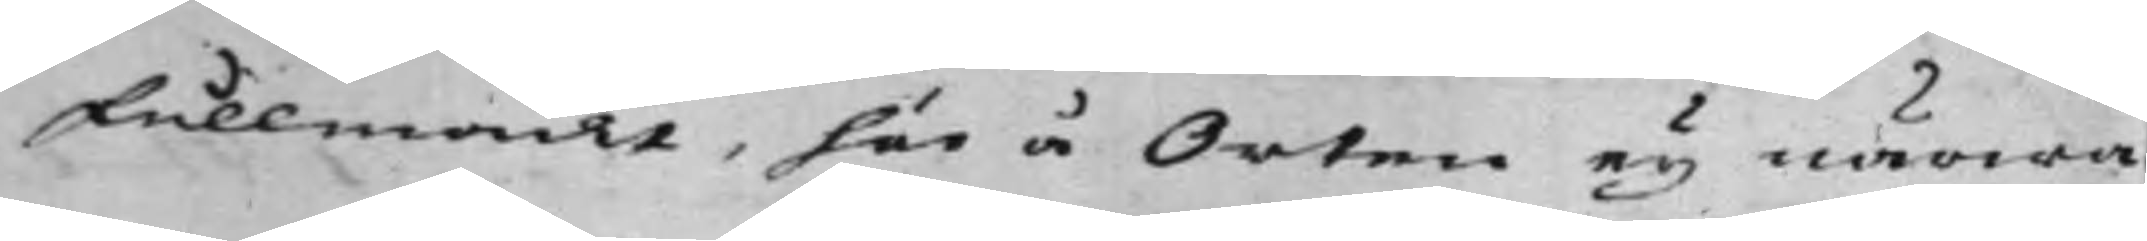Fullmackt, här å Orten ey närwa¬
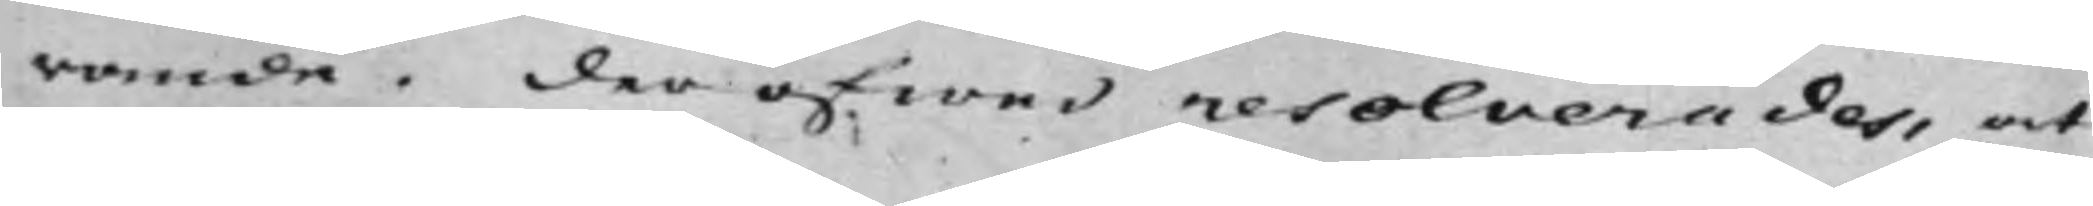rande. der öfwer resolverades, at
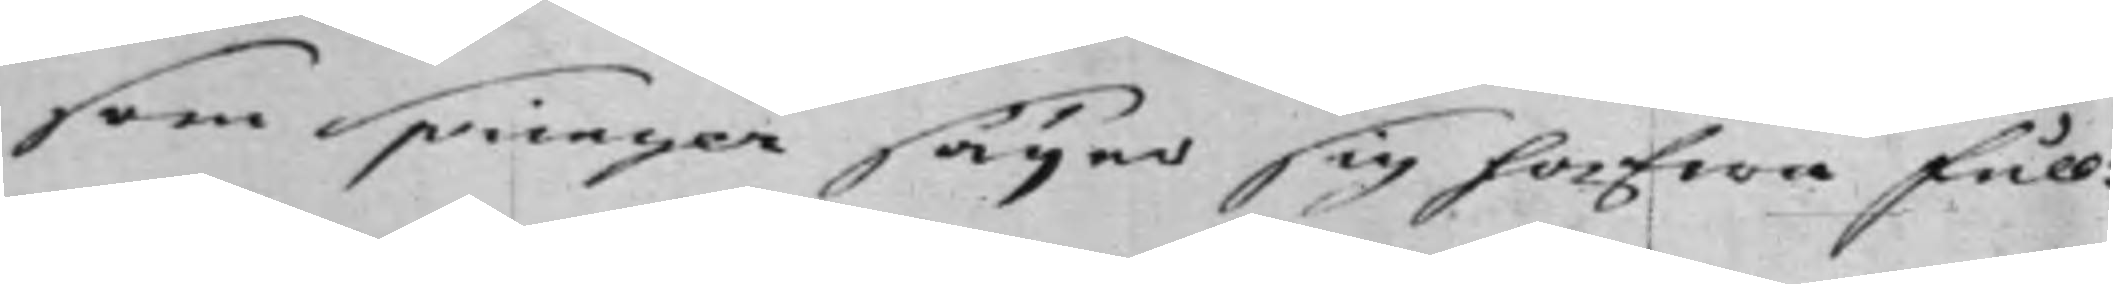som Springer säyer sig hafwa full¬
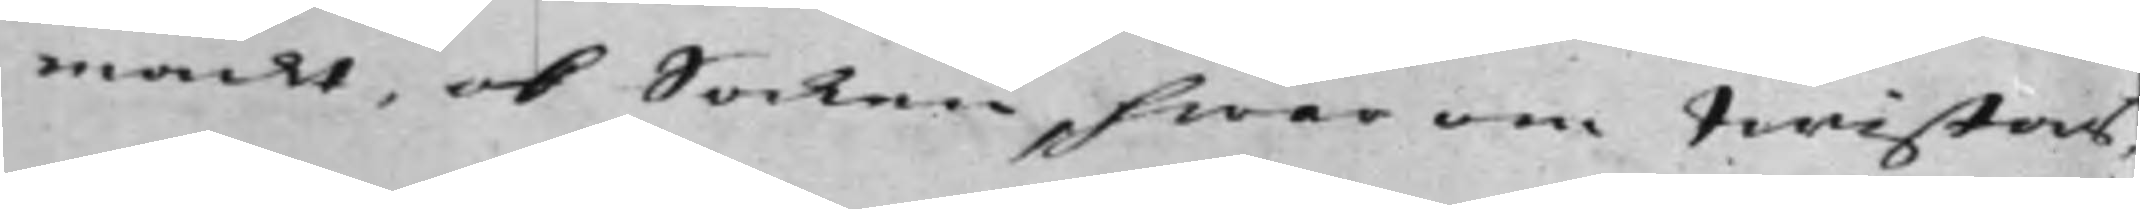mackt, ok Saken, hwar om twistas,
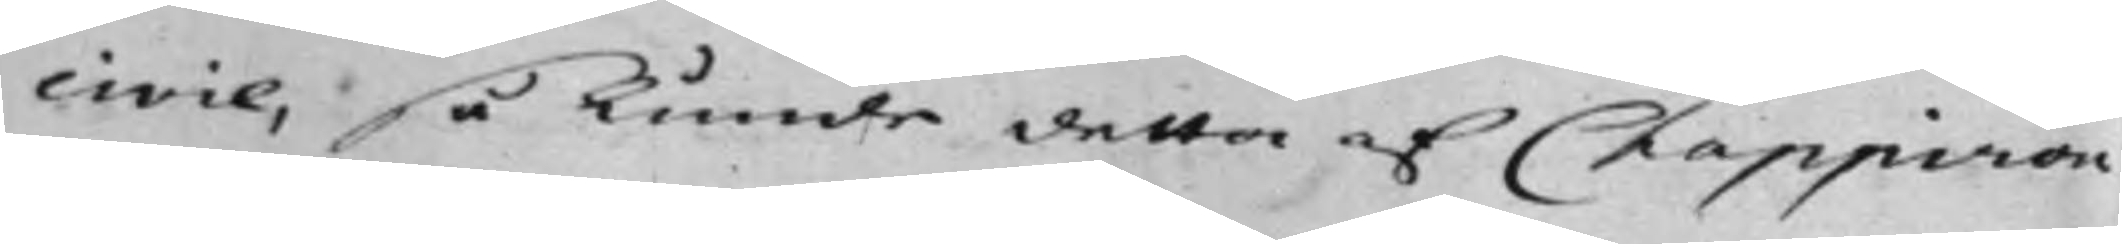civil, så kunde detta af Chappiron
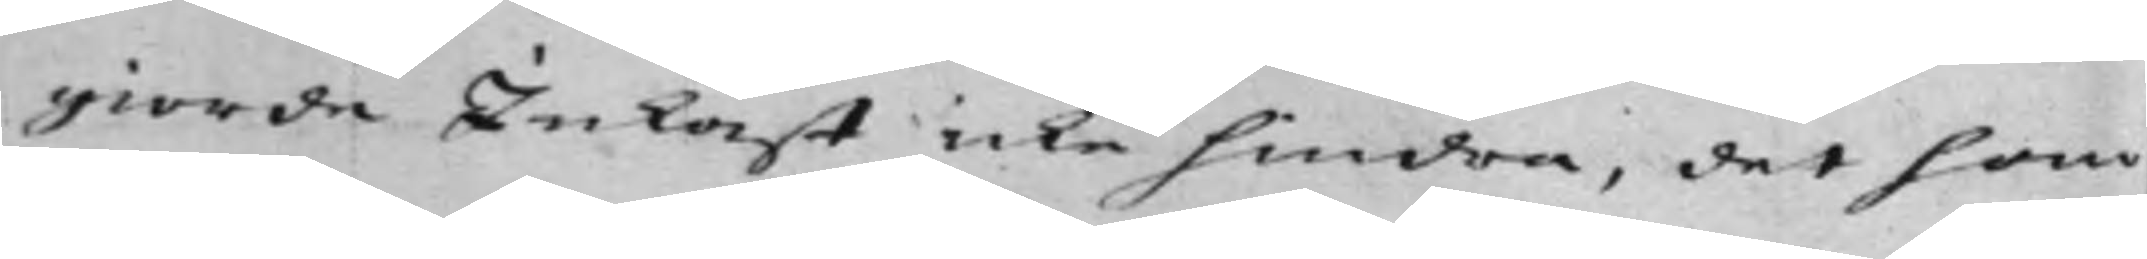giorde Inkast icke hindra, det han
